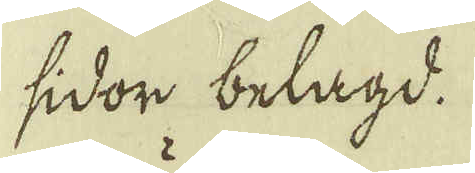sidor belagd.
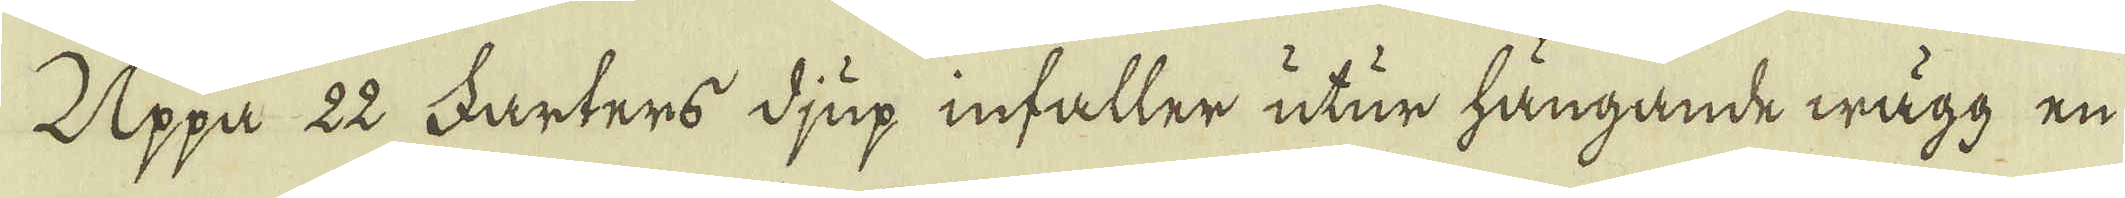Uppa 22 Farters djup infaller utur hängande wägg en
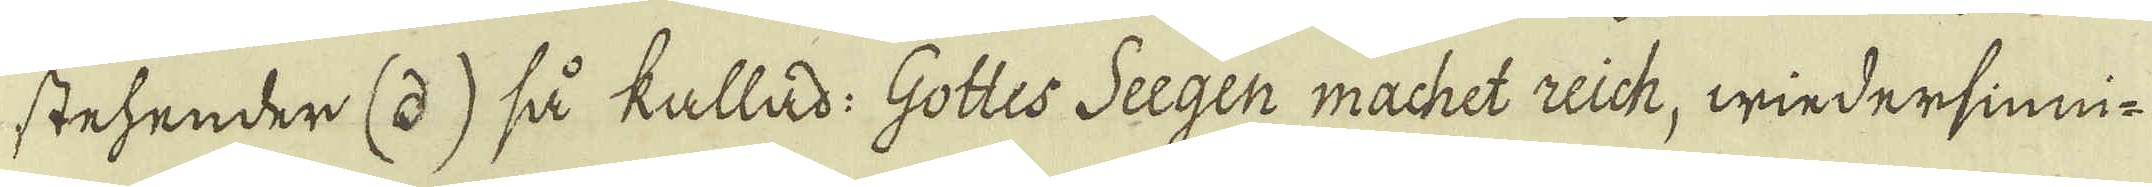stehender (d) så kallad: Gottes Seegen machet Lich, wiedersinni-
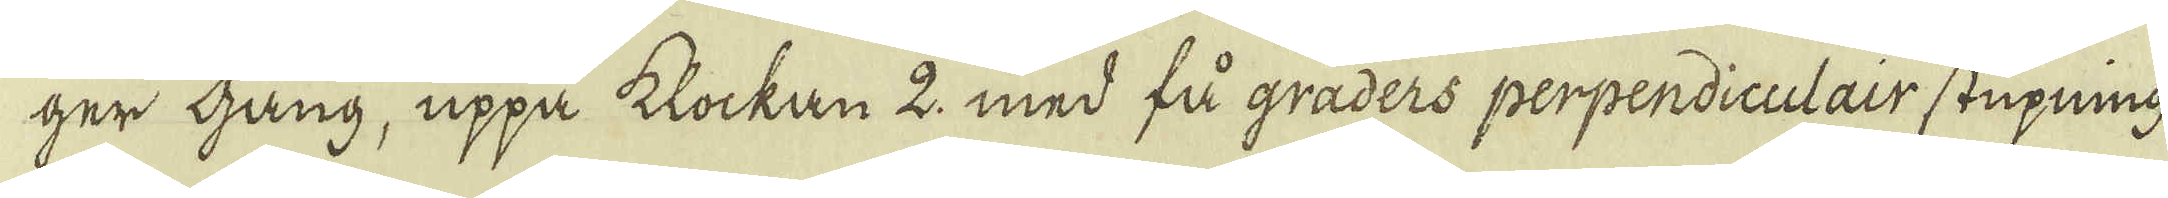ger gång, uppå klockan 2, med få graders perpendiculair stupning
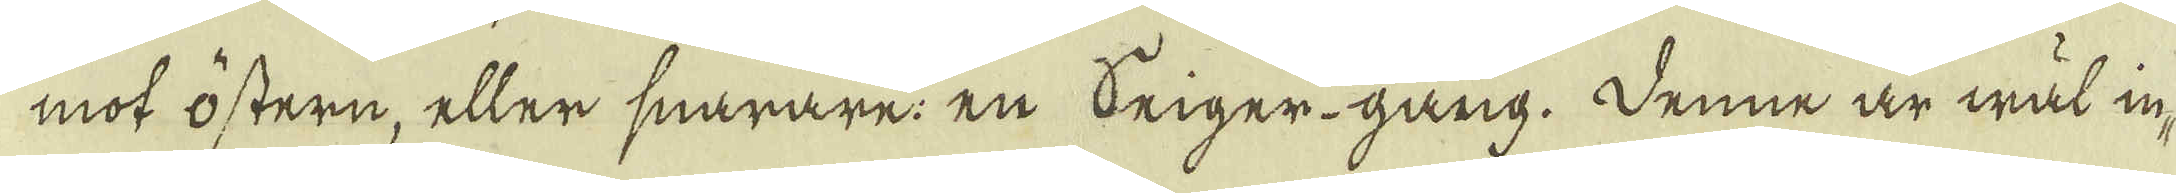mot östern, eller snarare: en beiger-gång. Denne är wäl in-
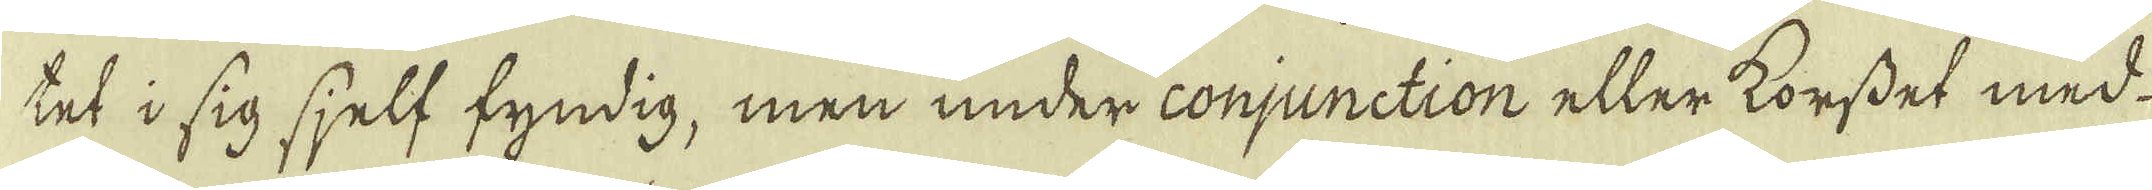tet i sig sjelf fyndig, men under conjunction eller korsdet med
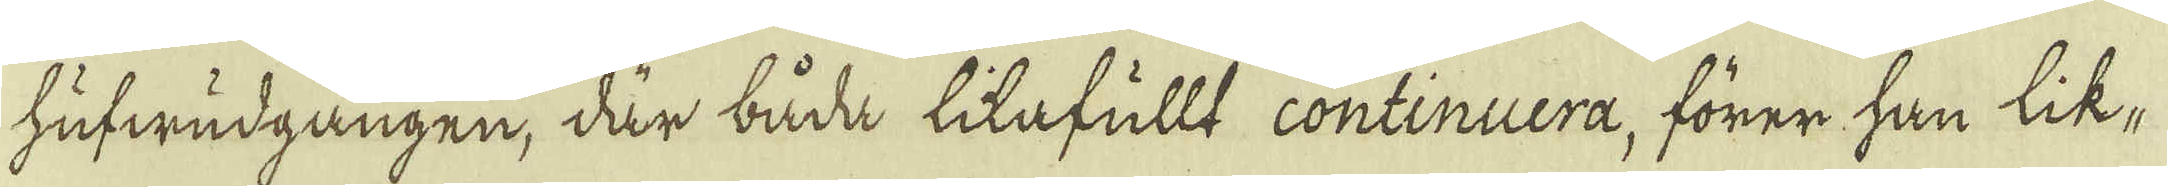hufwudgången, där båda likafullt continuera, förer han lik-
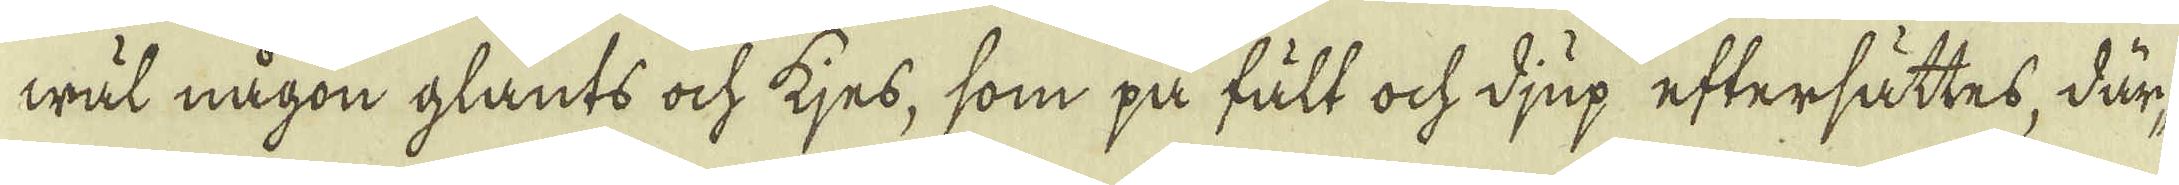wäl någon glants ock kjes, som på fält ock djup eftersättes, där-
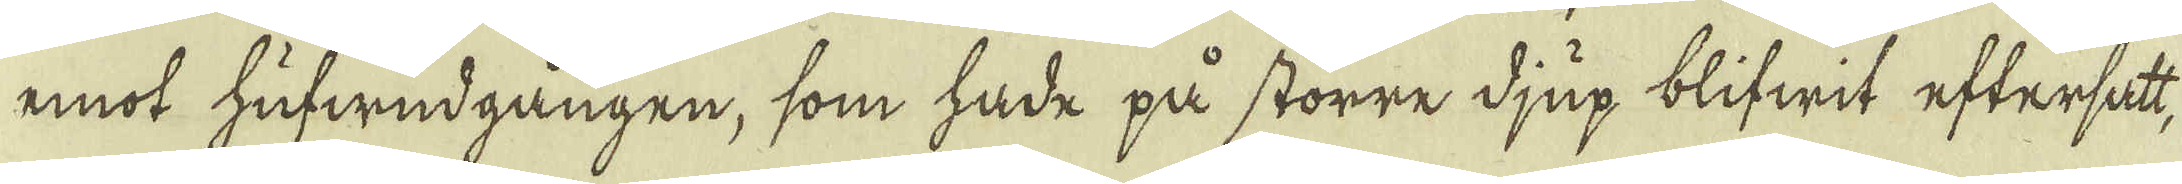mot hufwudgången, som hade på större djup blifwit eftersatt,
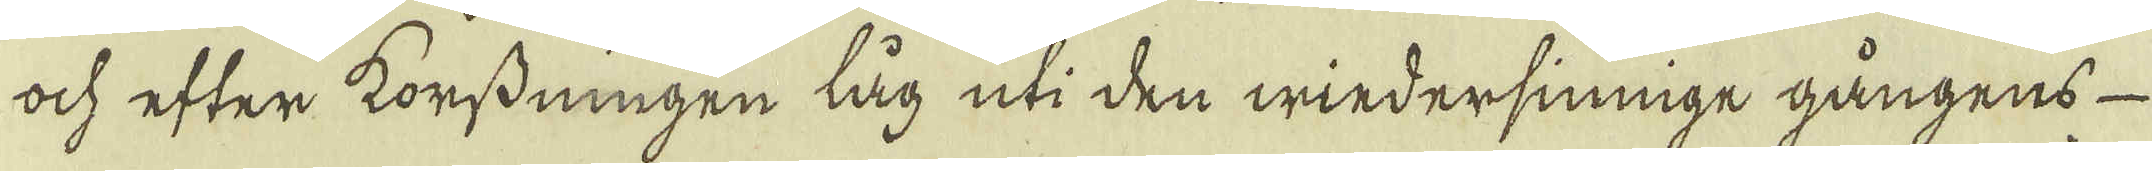ock efter korsdningen låg uti den wiedersinnige gångens
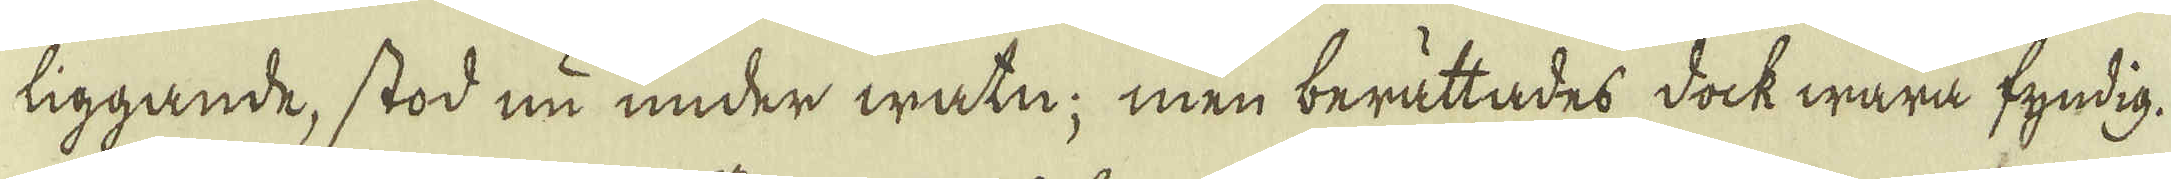liggande, stod nu under watn; men berättades dock wara fyndig.
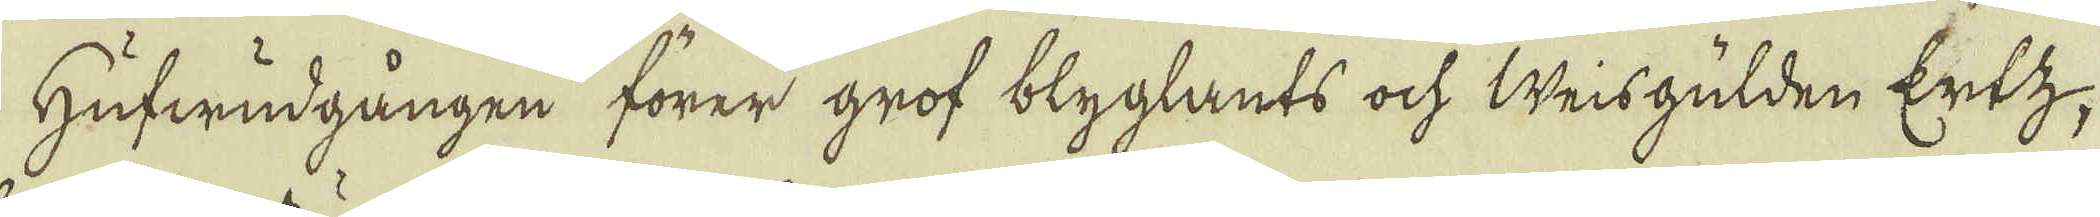Hufwudgången förer grof blyglants ock weisgülden Ertz,
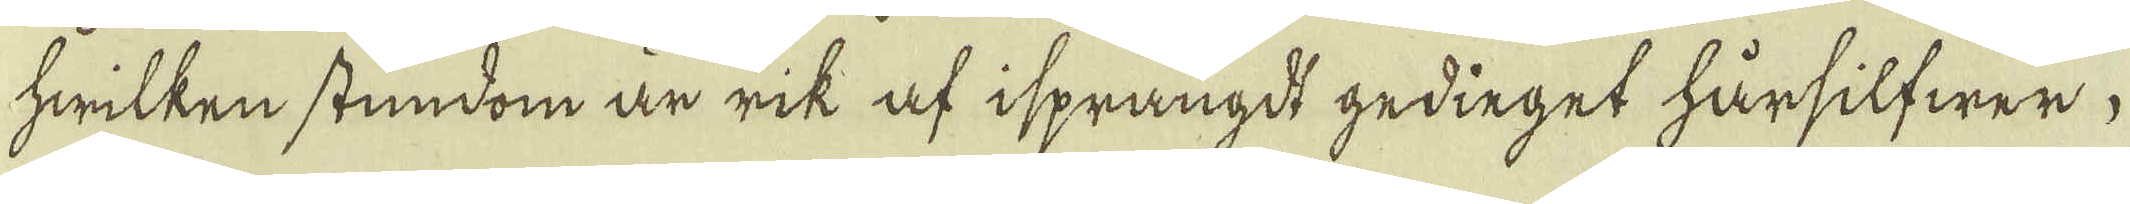hwilken stundom är rik af isprängdt gedieget härsilfwer,
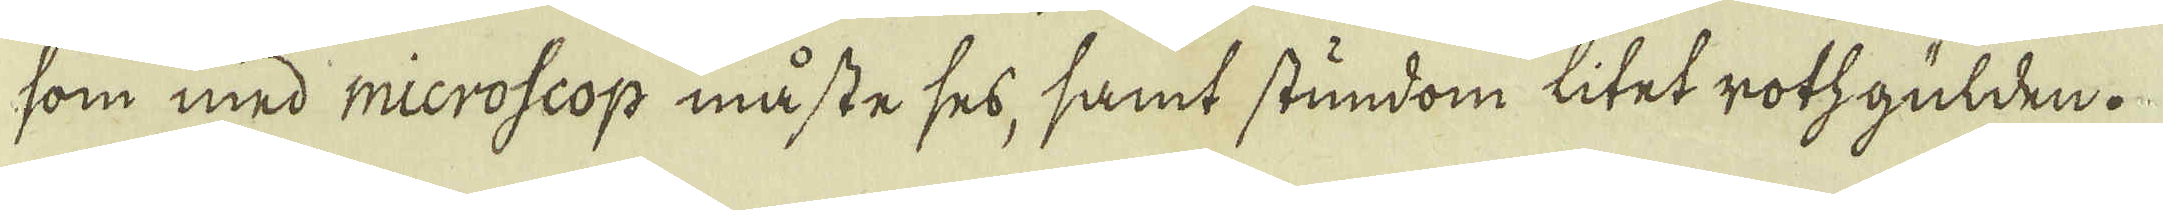som med microscop måste ses, samt stundom litet rotzgülden.
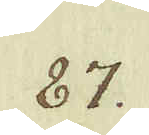87.
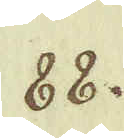88.
